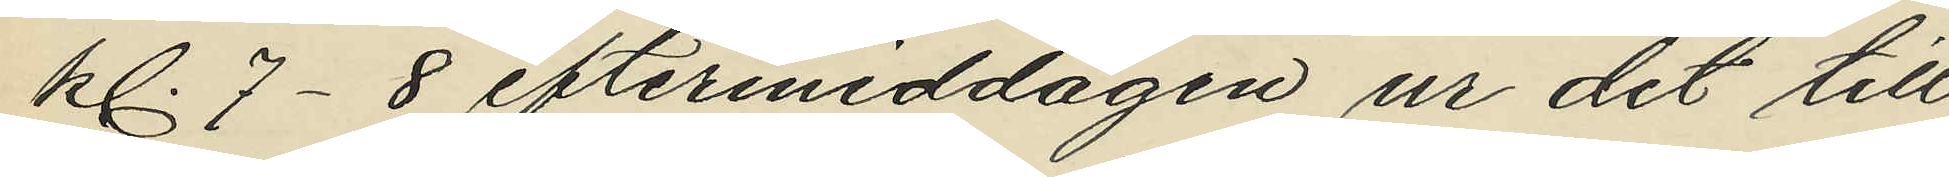kl. 7-8 eftermiddagen ur det till
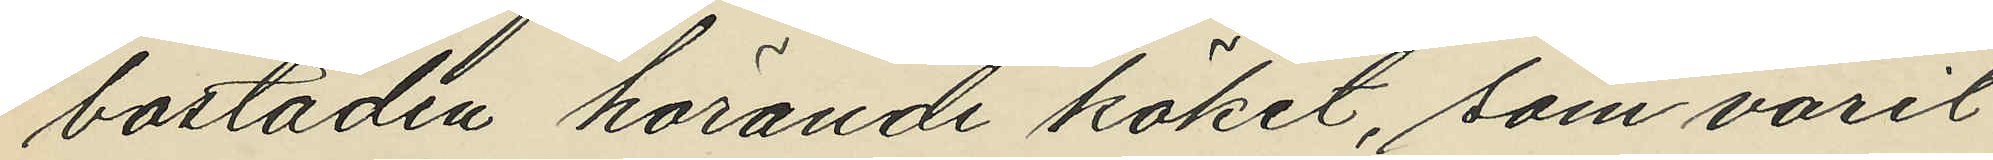bostaden hörande köket, som varit
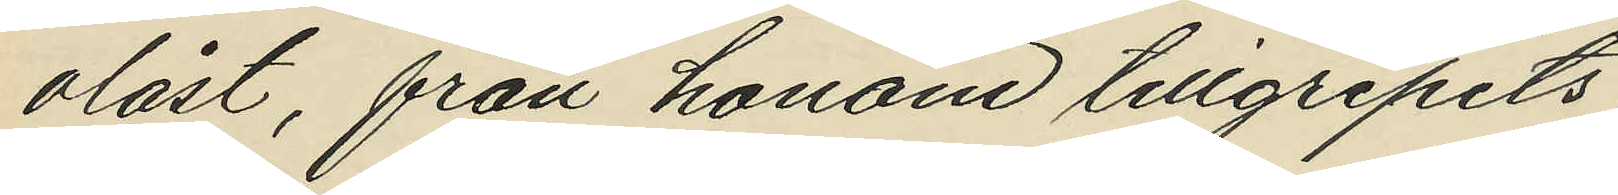olåst, från honom tillgripits
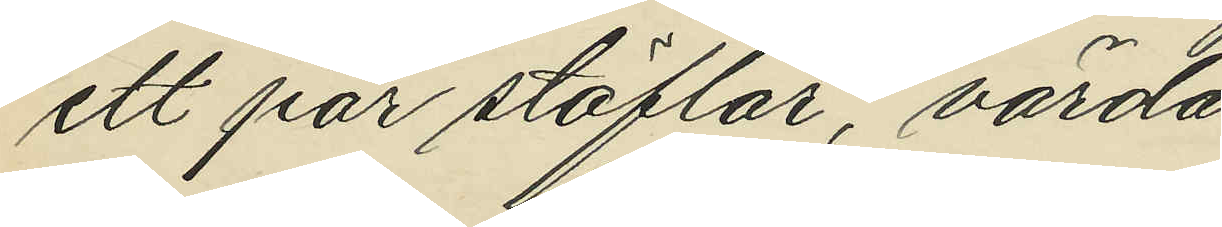ett par stöflar, värda 
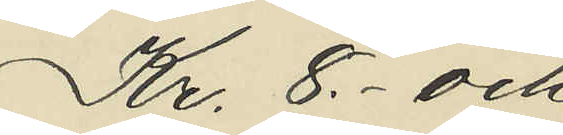Kr. 8,- och
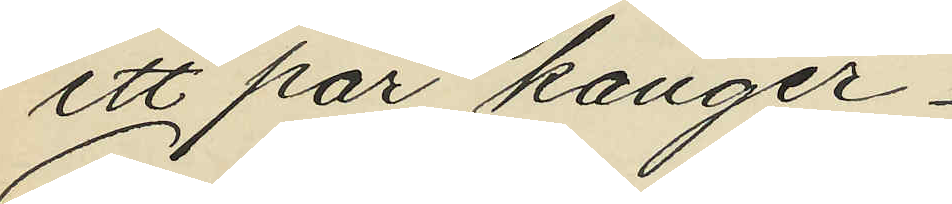ett par kanger
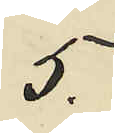5,-
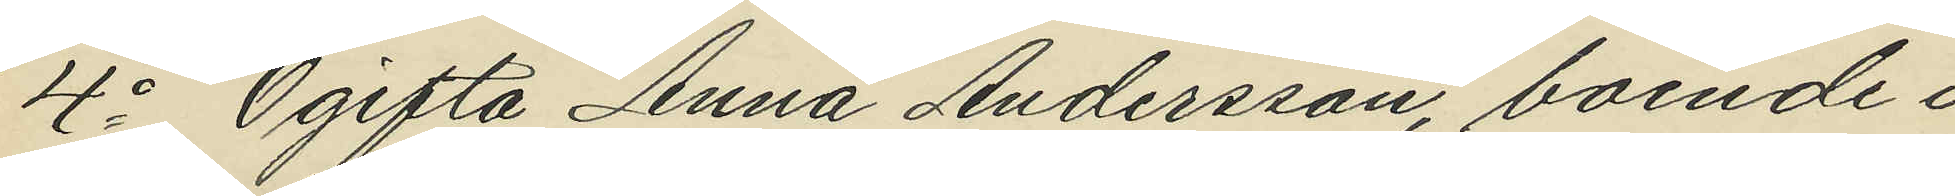4o Ogifta Anna Andersson, boende i
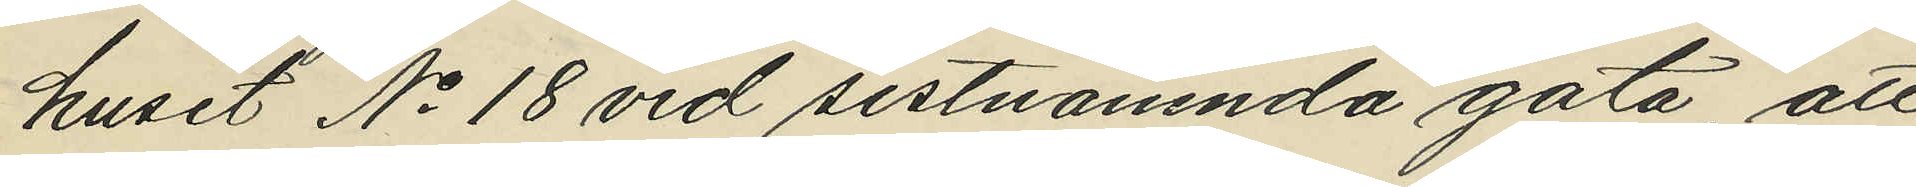huset No 18 vid sistnämnda gata, att 
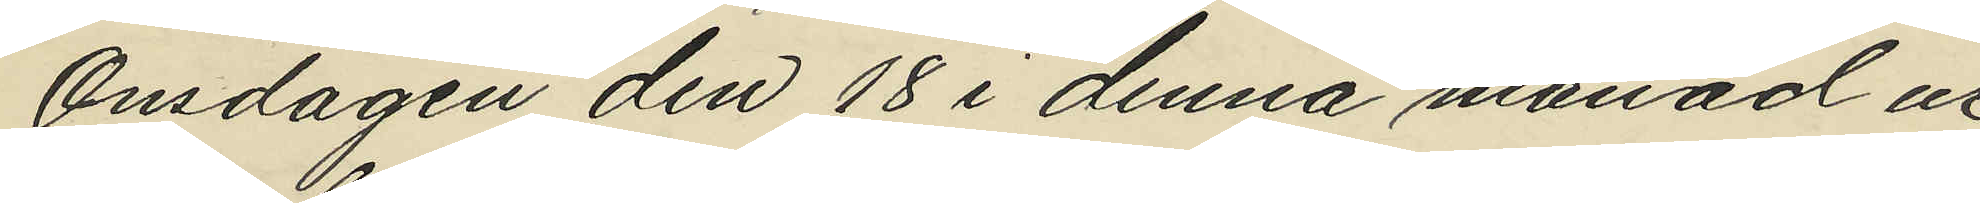Onsdagen den 18 i denna månad ur
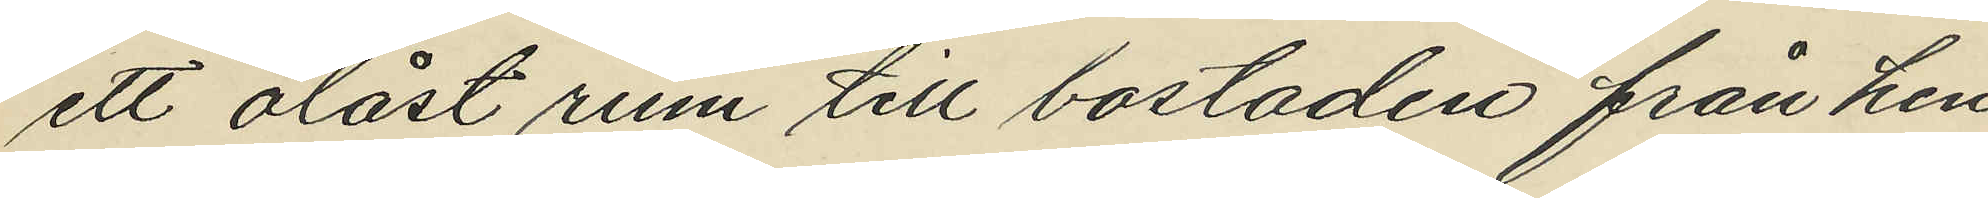ett olåst rum till bostaden från hen¬
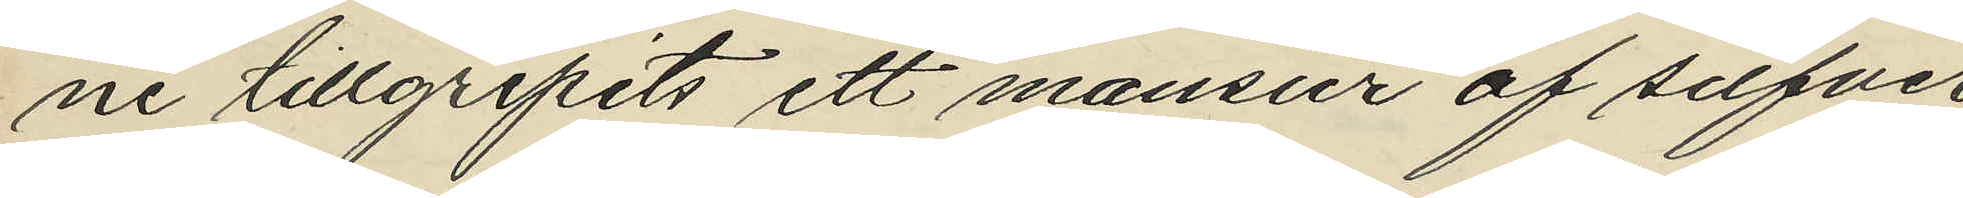ne tillgripits ett mansur af silfver 
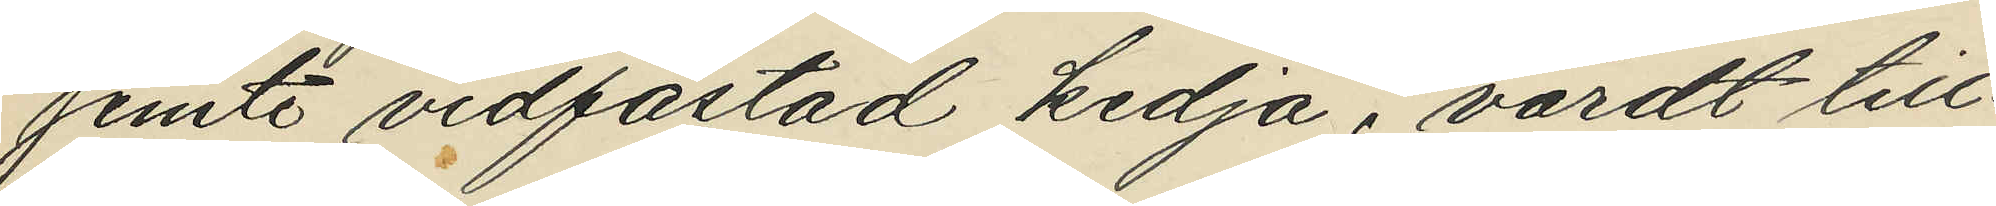jemte vidfästad kedja, värdt till¬
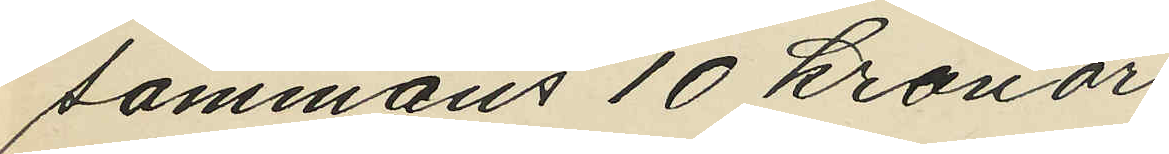sammans 10 kronor
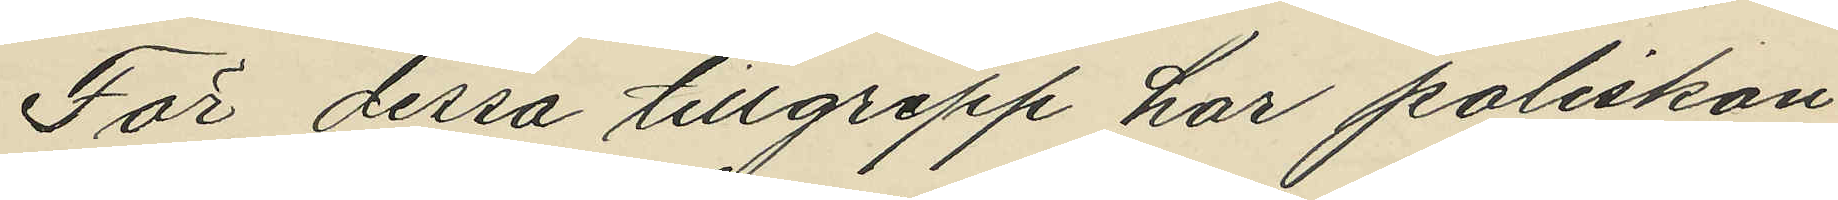För dessa tillgrepp har poliskon¬
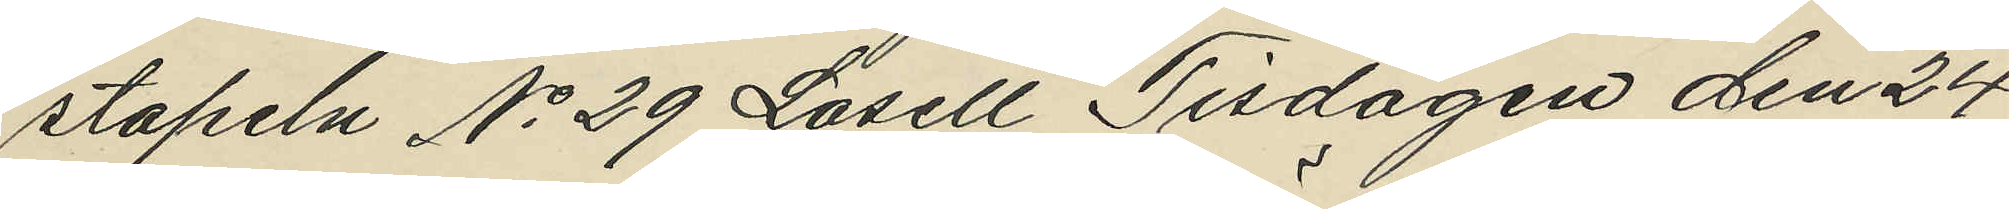stapeln No 29 Lasell Tisdagen den 24
